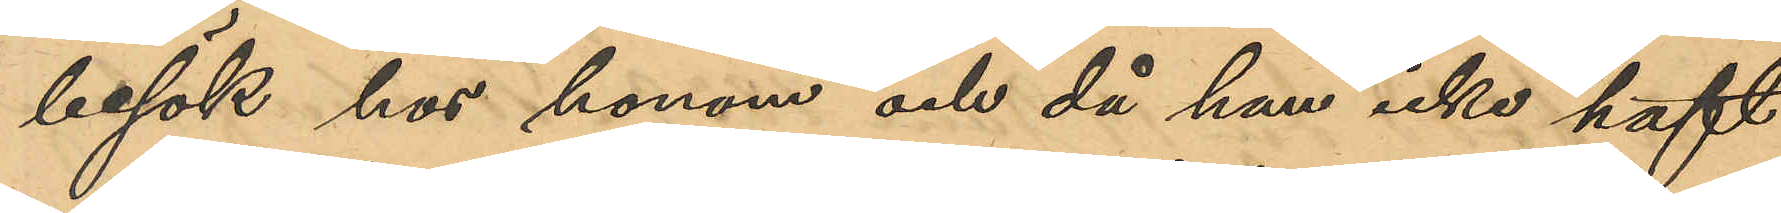besök hos honom och då hon icke haft
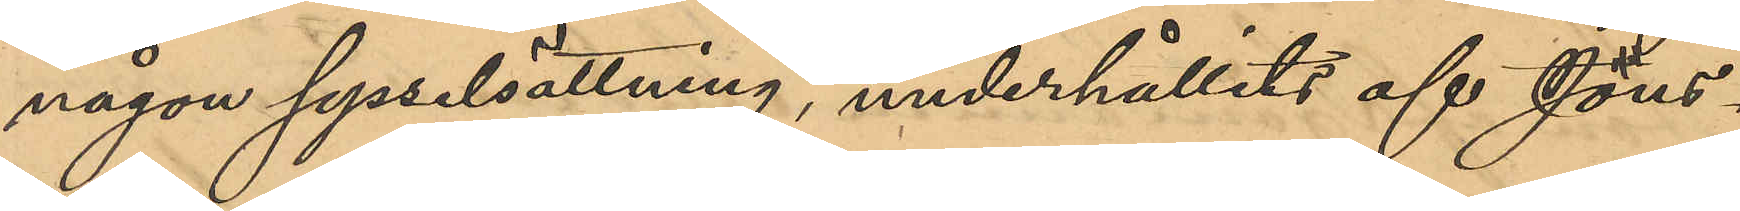någon sysselsättning, underhållits af Jöns¬
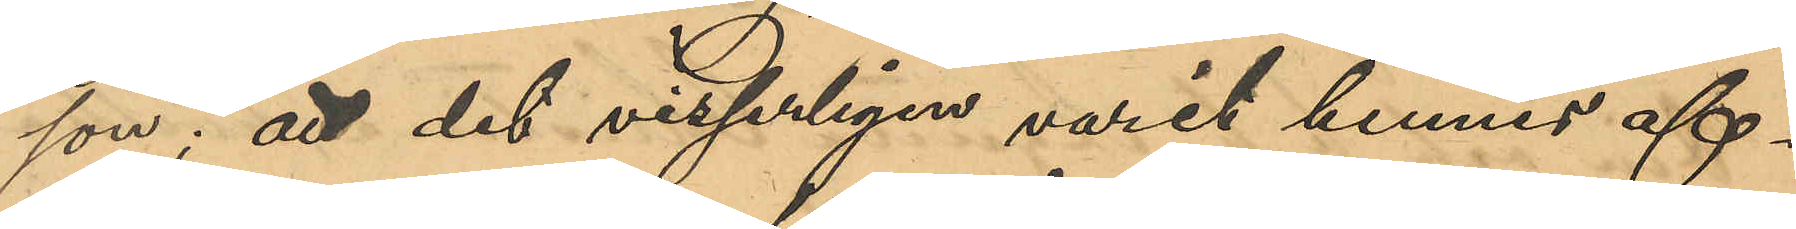son; att det visserligen varit hennes af¬
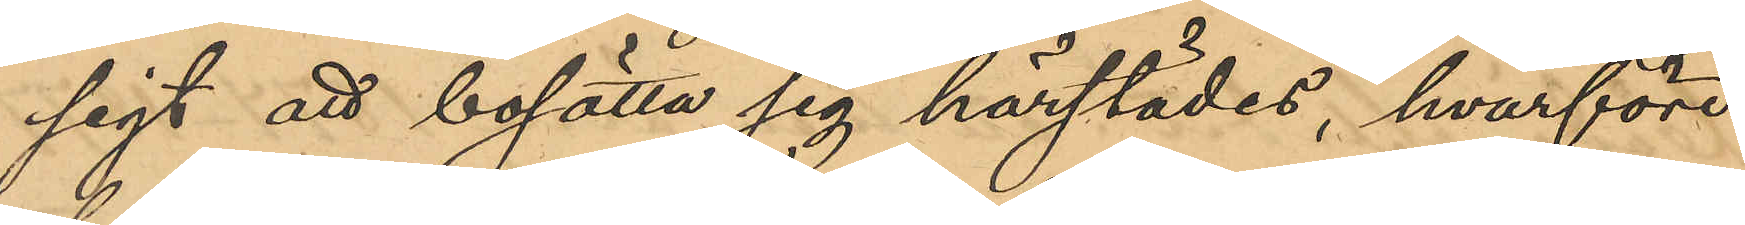sigt att bosätta sig härstädes, hvarför
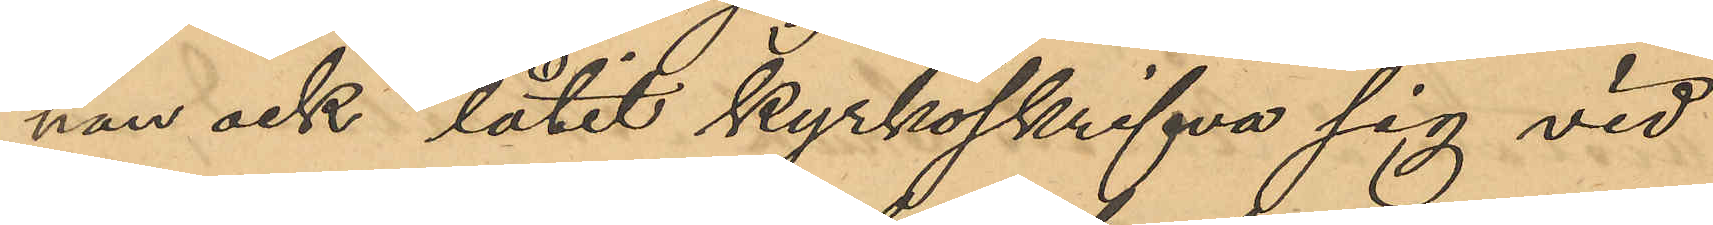hon ock låtit kyrkoskrifva sig vid
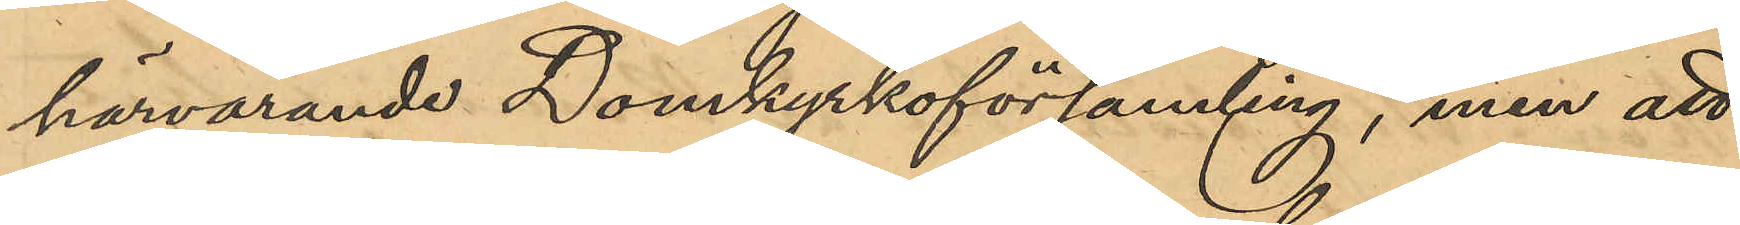härvarande Domkyrkoförsamling, men att
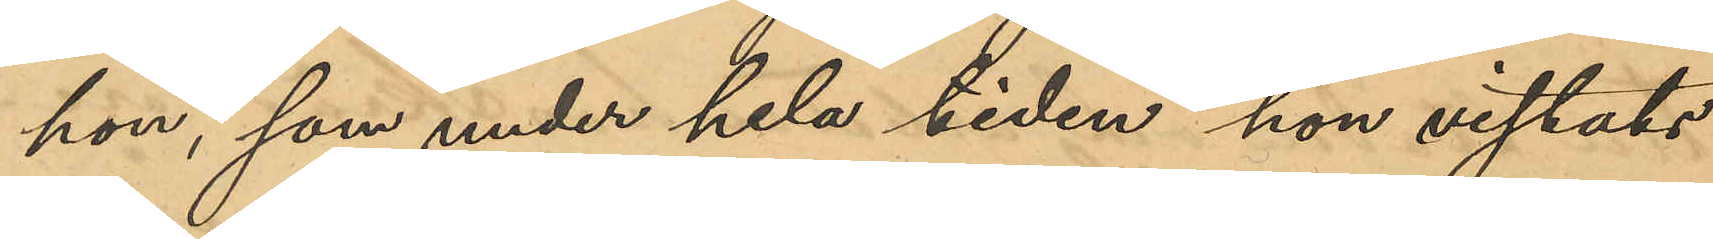hon, som hela tiden hon vistats
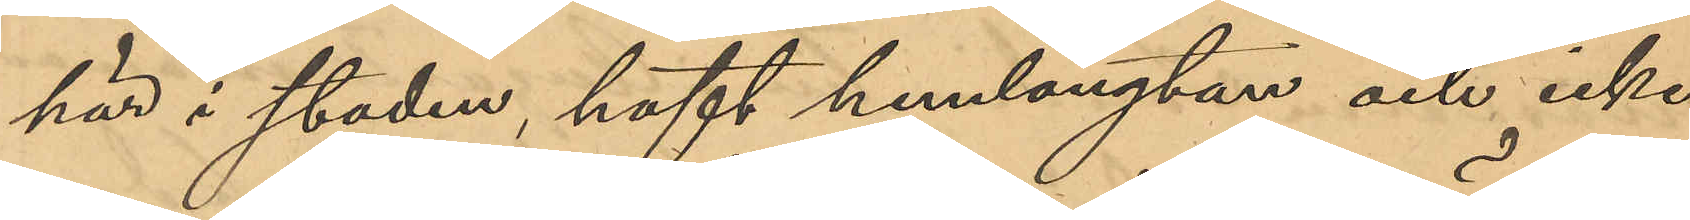här i staden, haft hemlängtan och icke
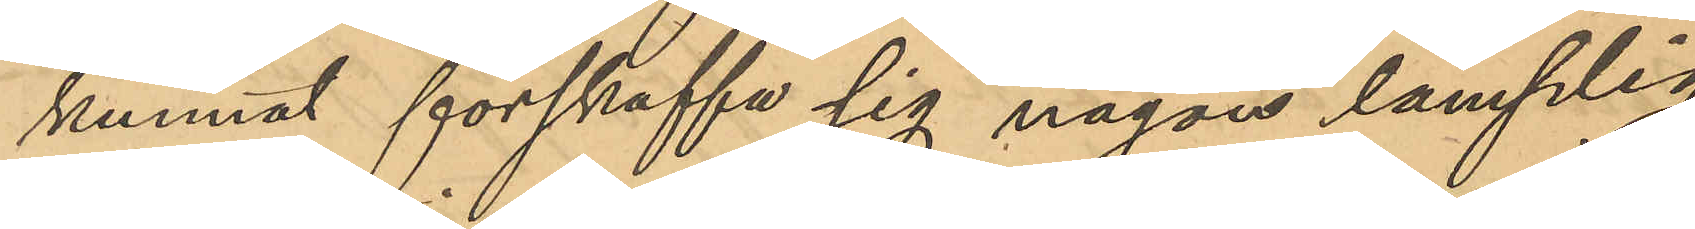kunnat förskaffa sig någon lämplig
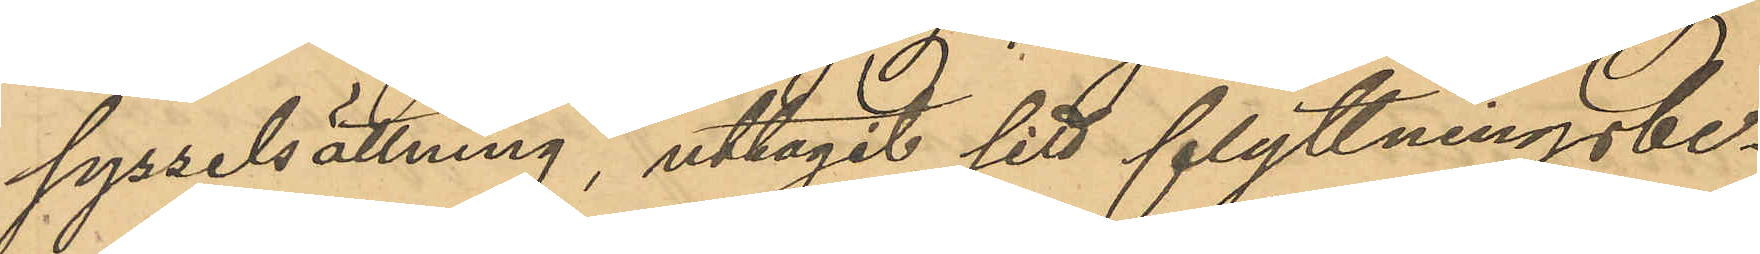sysselsättning, uttagit sitt flyttningsbe¬
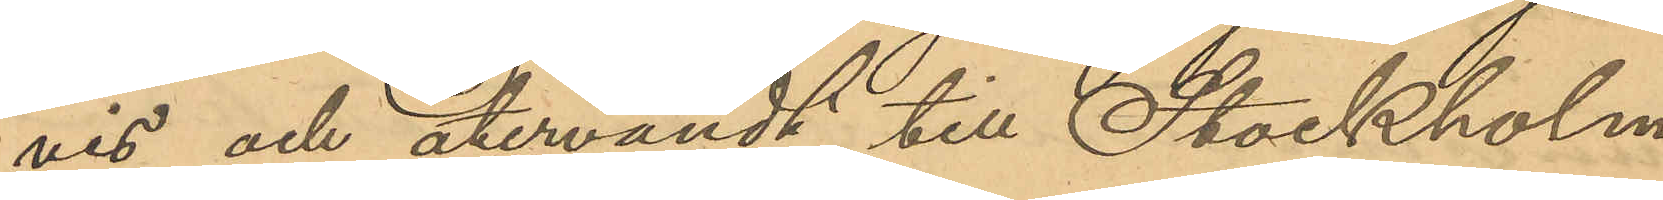vis och återvändt till Stockholm
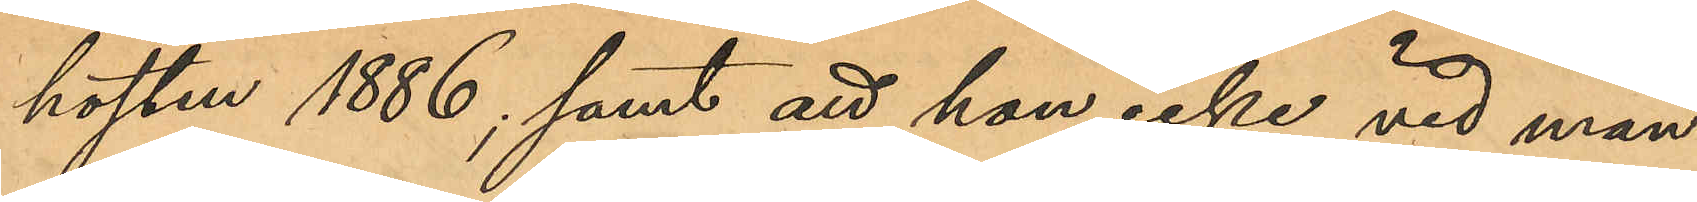hösten 1886, samt att hon icke vid man¬
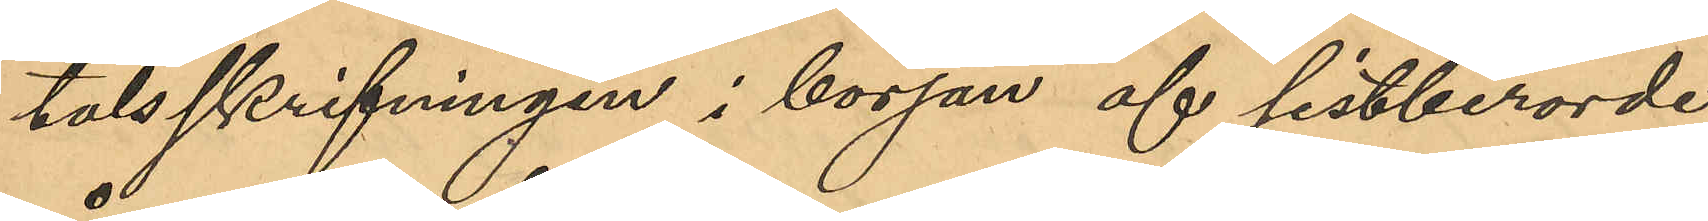talsskrifvningen i början af sistberörde
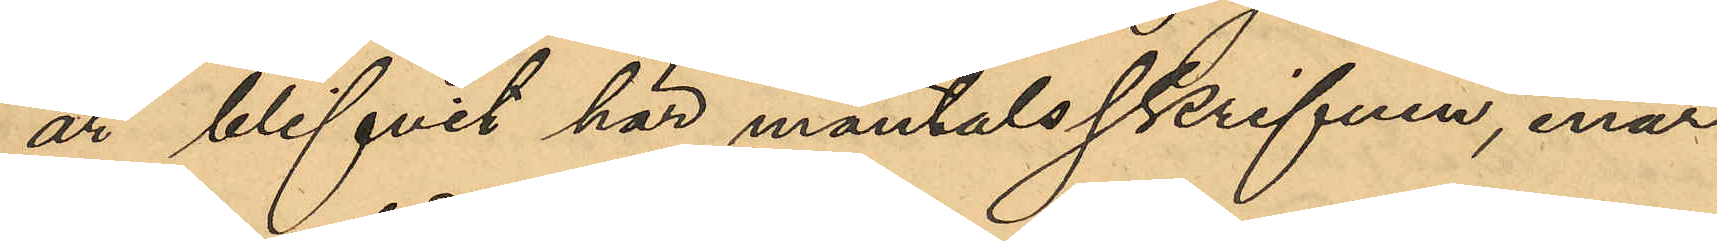år blifvit här mantalsskrifven, enär
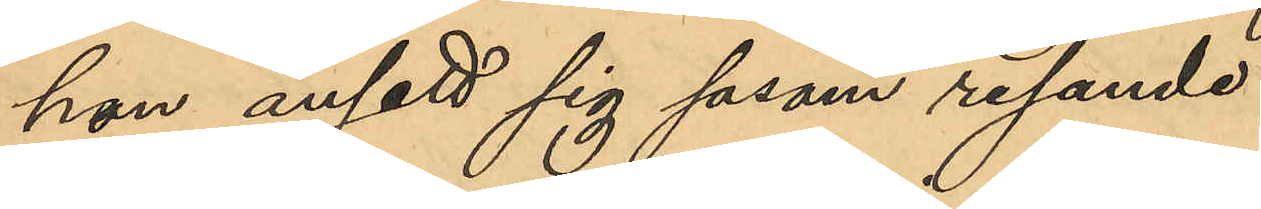hon ansett sig såsom resande.
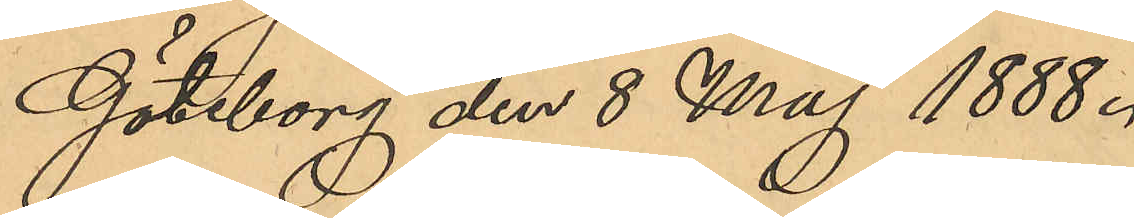Göteborg den 8 Maj 1888.
